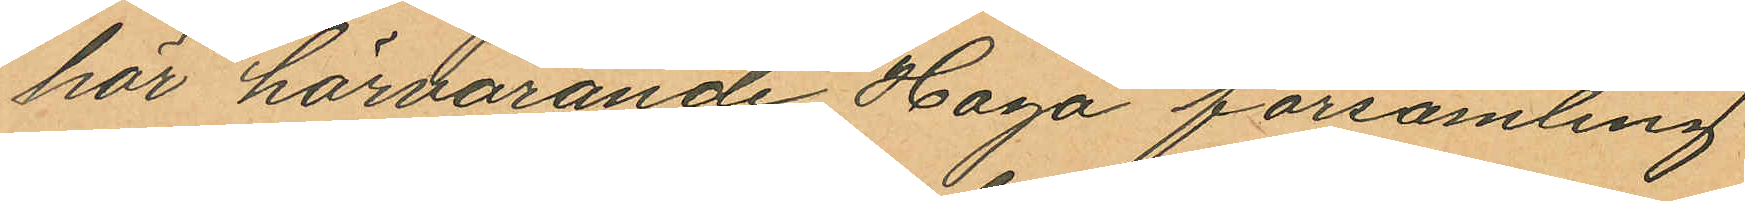hör härvarande Haga församling
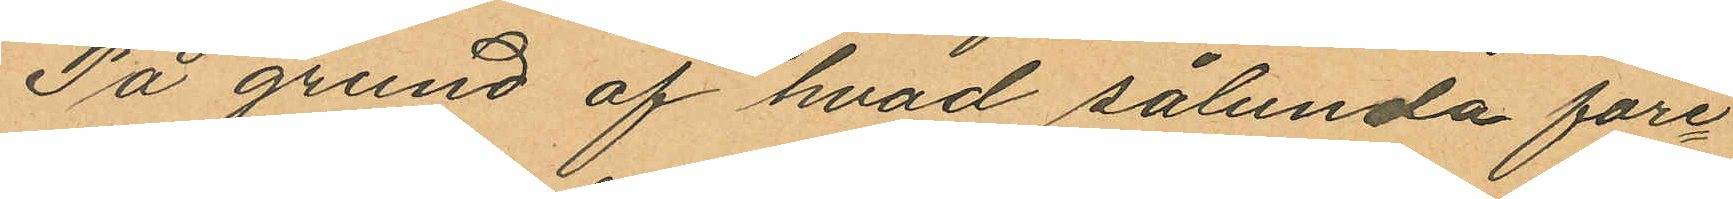På grund af hvad sålunda före¬
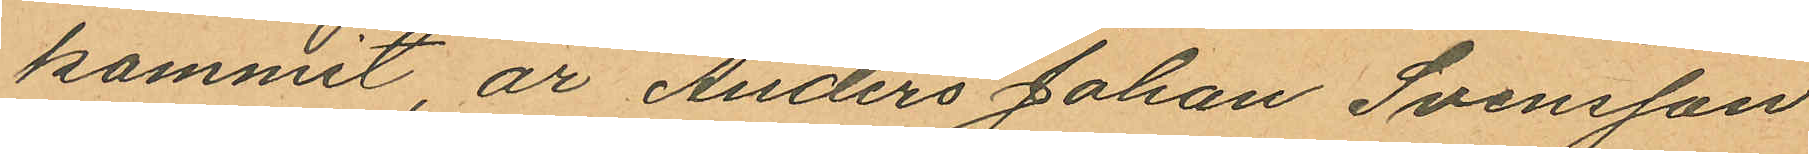kommit, är Anders Johan Svensson
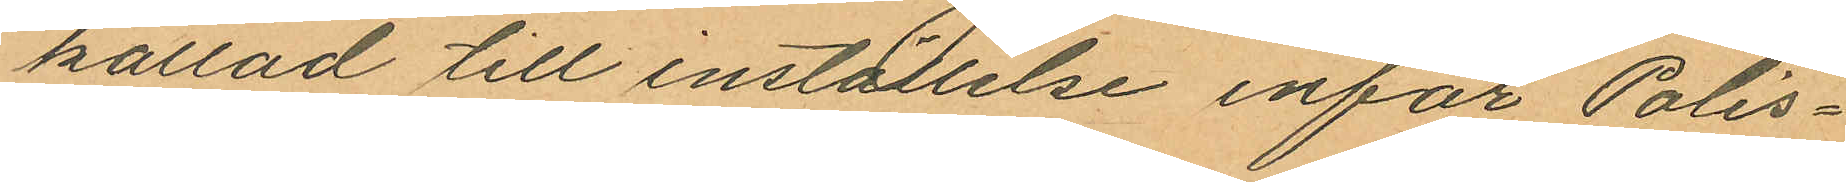kallad till inställelse inför Polis¬
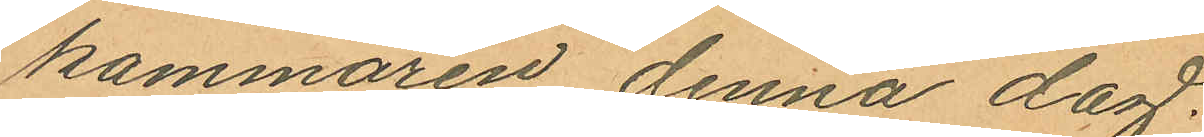kammaren denna dag.
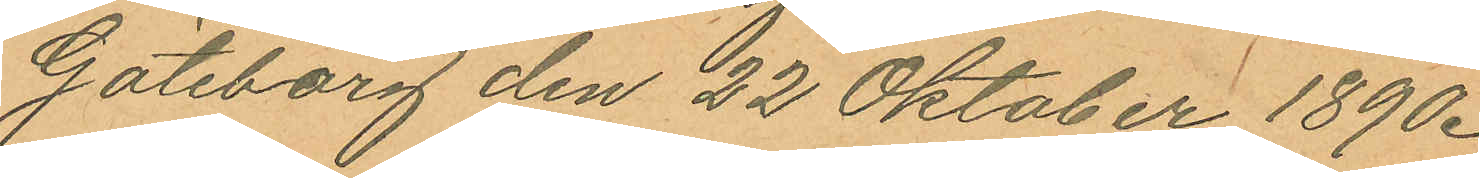Göteborg den 22 Oktober 1890.
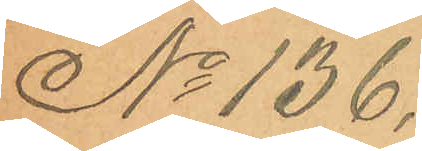No 136.
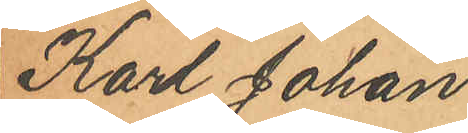Karl Johan
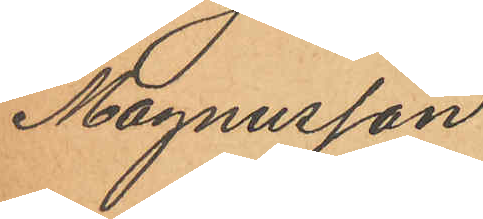Magnusson
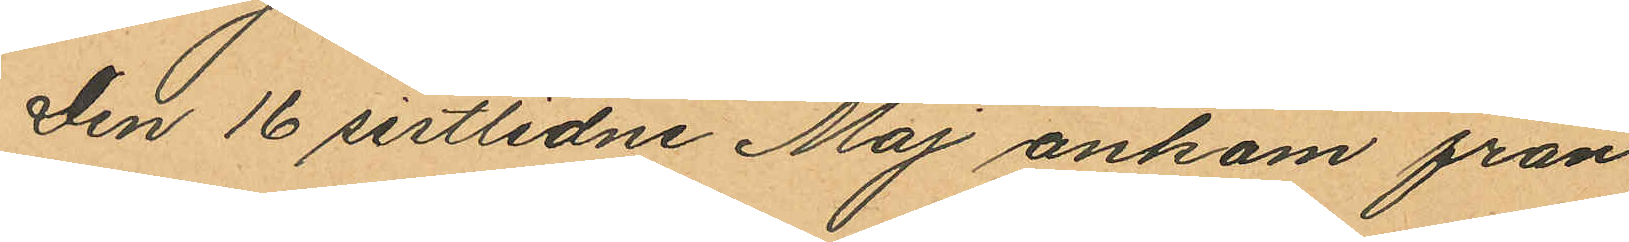Den 16 sistlidne Maj ankom från
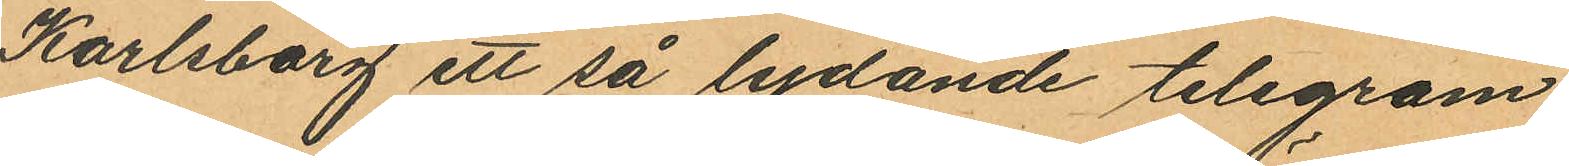Karlsborg ett så lydande telegram
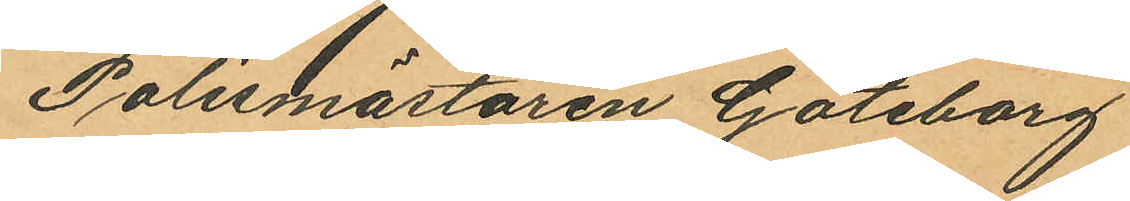Polismästaren Göteborg
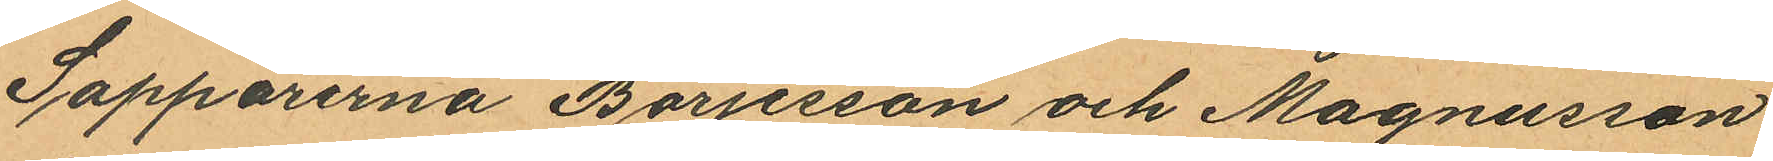Sappörerna Börjesson och Magnusson
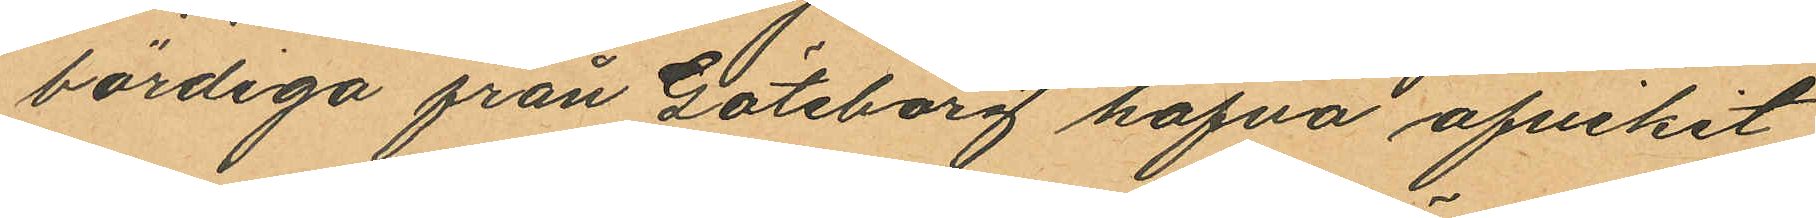bördiga från Göteborg hafva afvikit
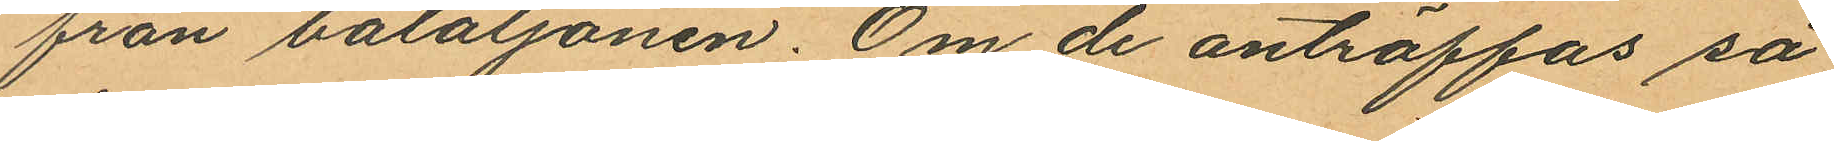från bataljonen. Om de anträffas så
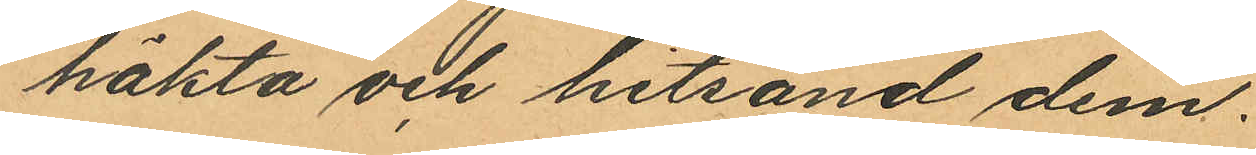häkta och hitsänd dem.
